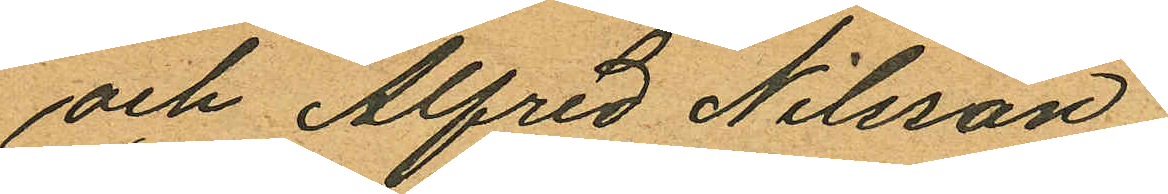och Alfred Nilsson.
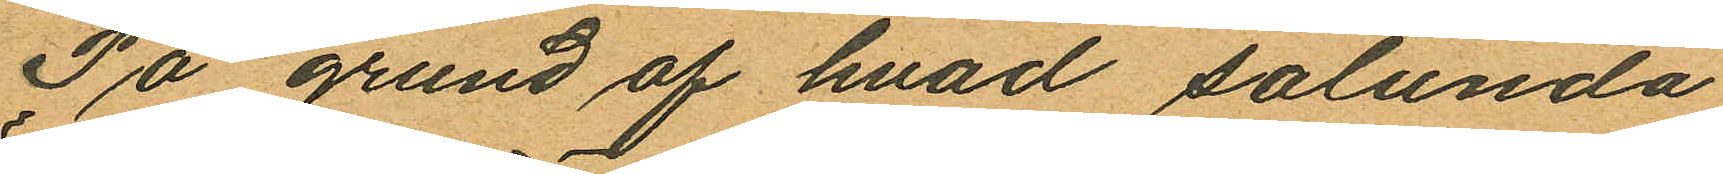På grund af hvad sålunda
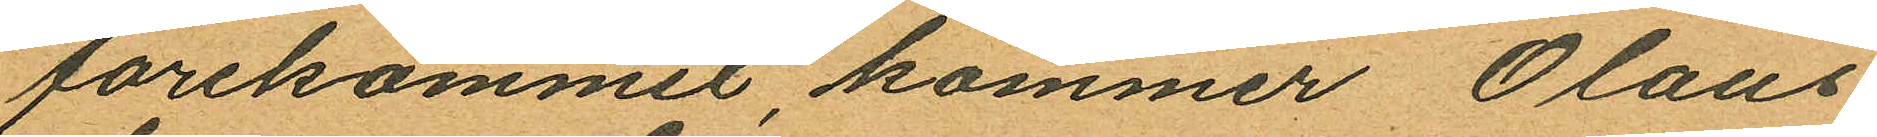förekommit, kommer Olaus
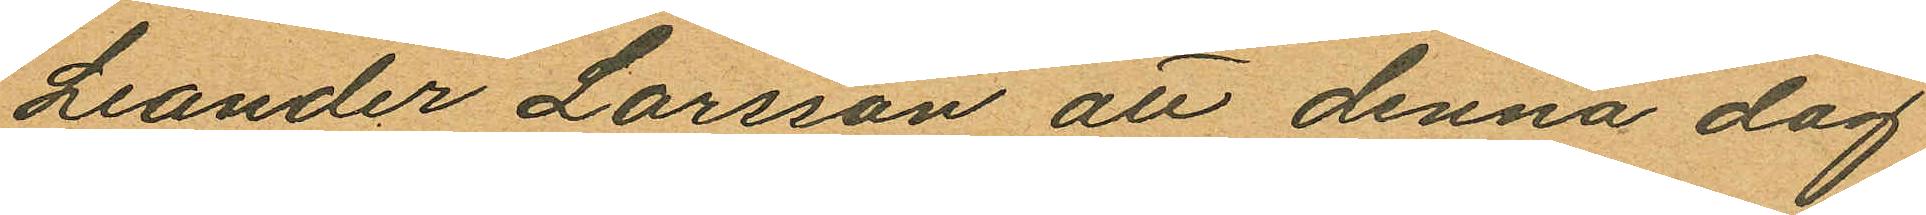Leander Larsson att denna dag
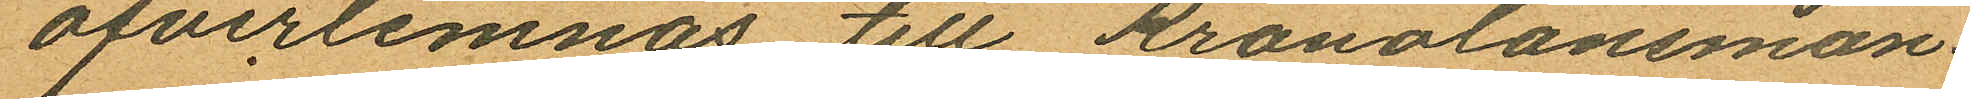öfverlemnas till Kronolänsman¬
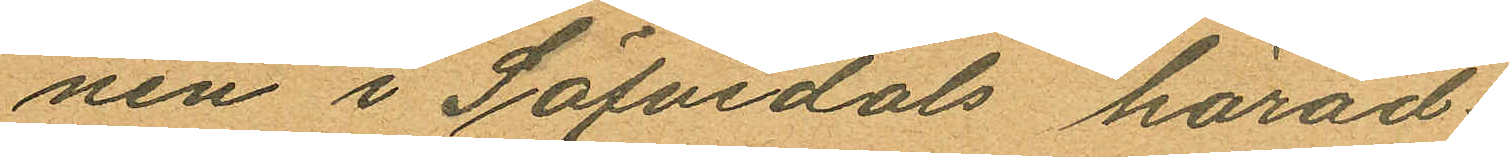nen i Säfvedals härad.
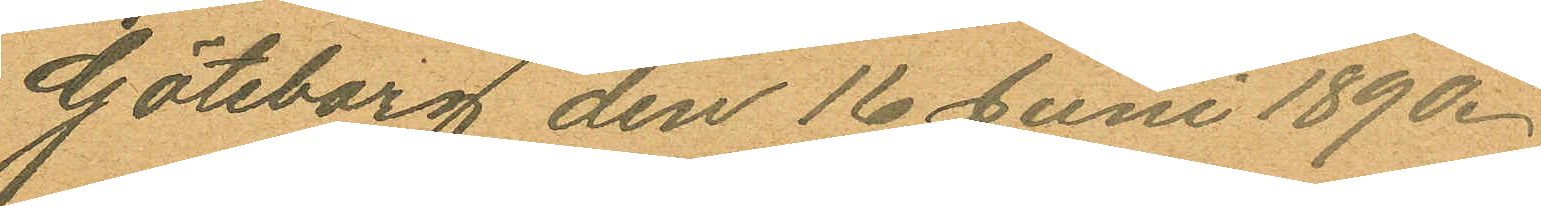Göteborg den 16 Juni 1890.
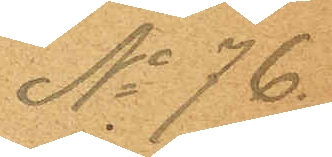No 76.
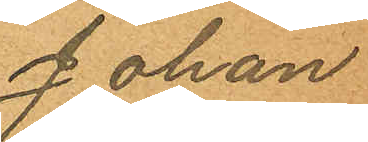Johan
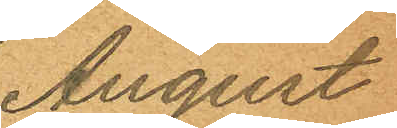August
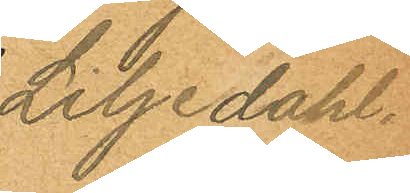Liljedahl.
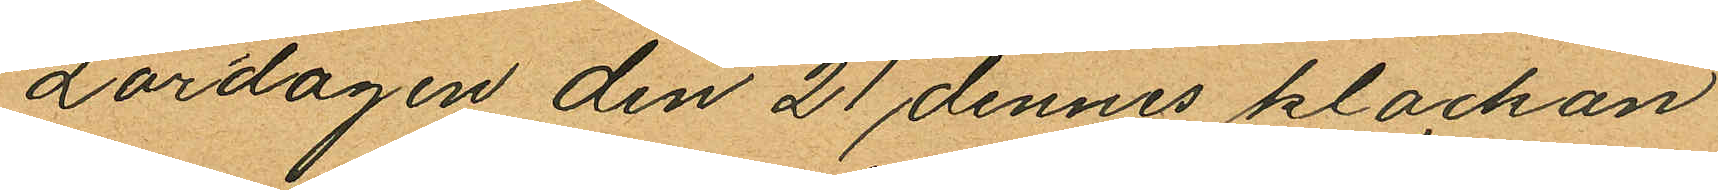Lördagen den 21 dennes klockan
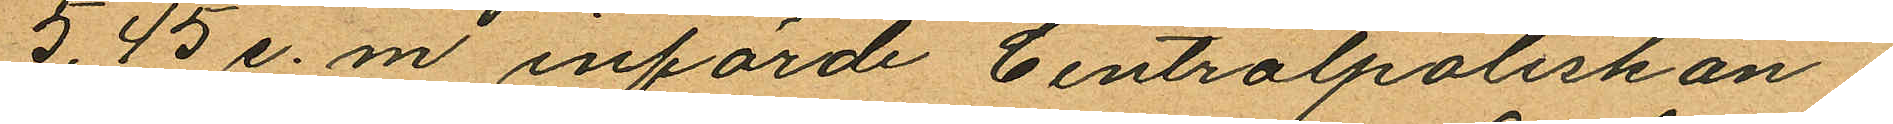5.45 e. m. införde Centralpoliskon¬
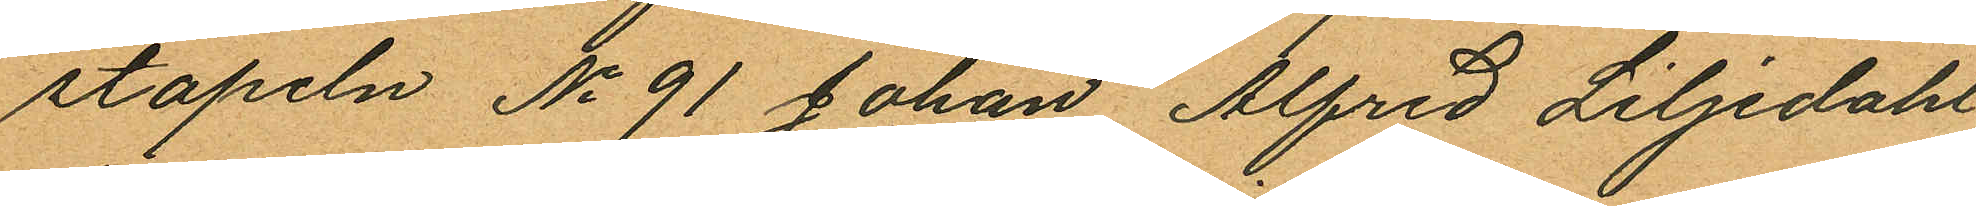stapeln No 91 Johan Alfred Liljedahl
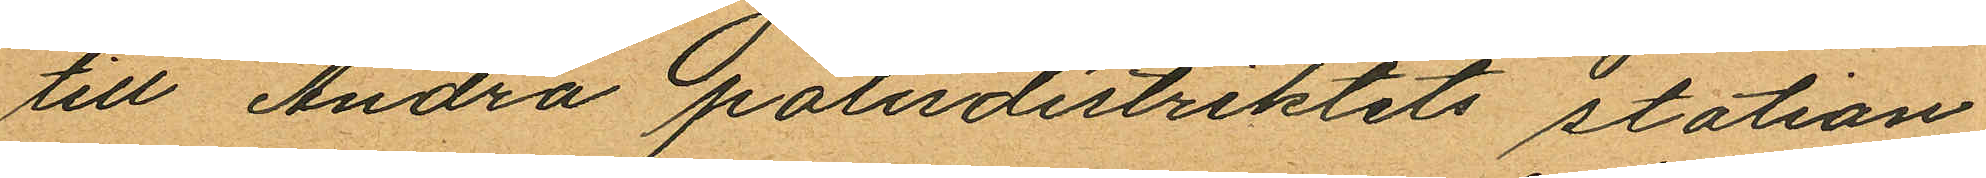till Andra polisdistriktets station
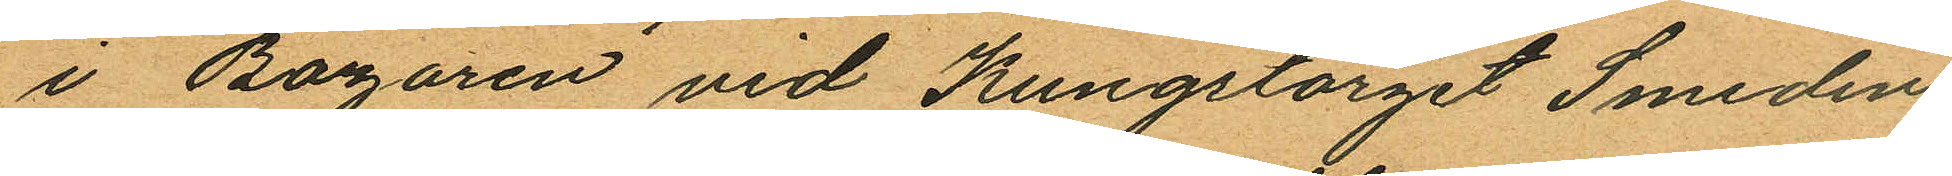i Bazaren vid Kungstorget Smeden
